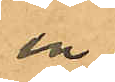en
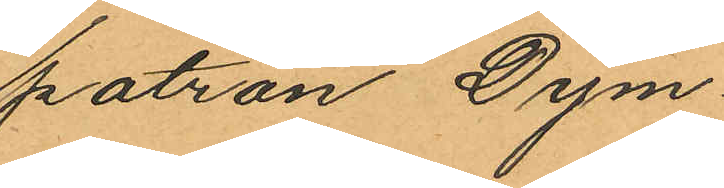patron Dym¬
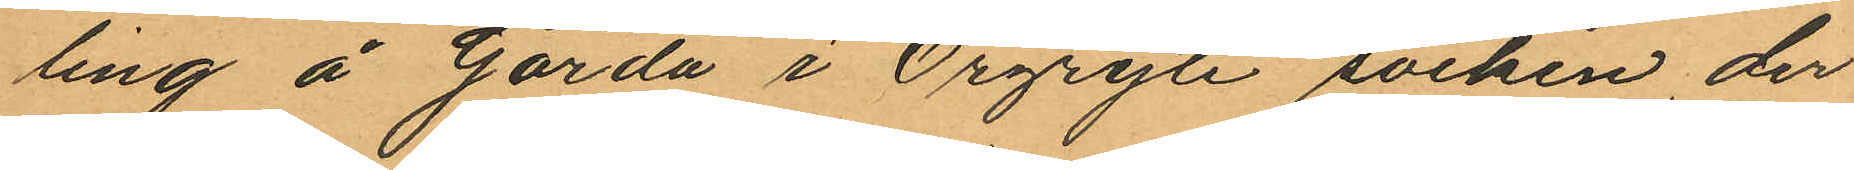ling å Gårda i Örgryte socken, der
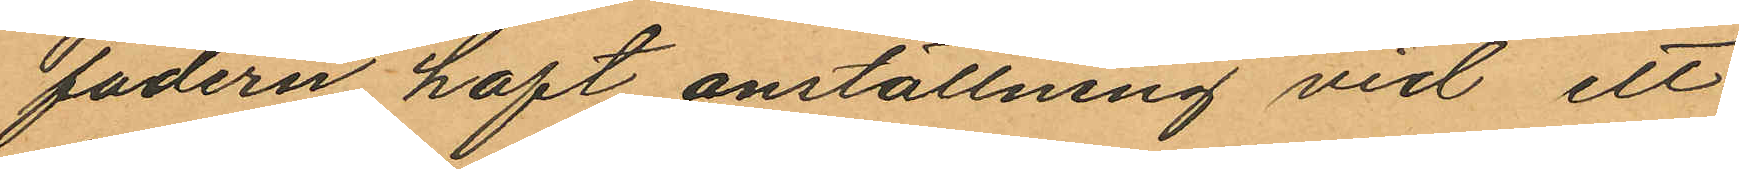fadern haft anställning vid ett
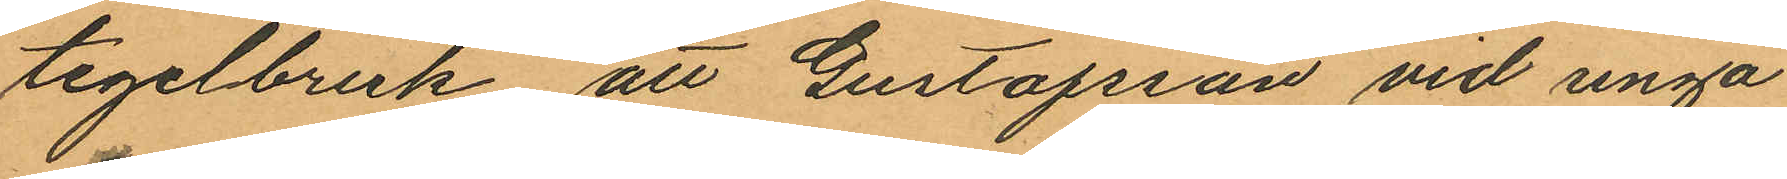tegelbruk, att Gustafsson vid unga
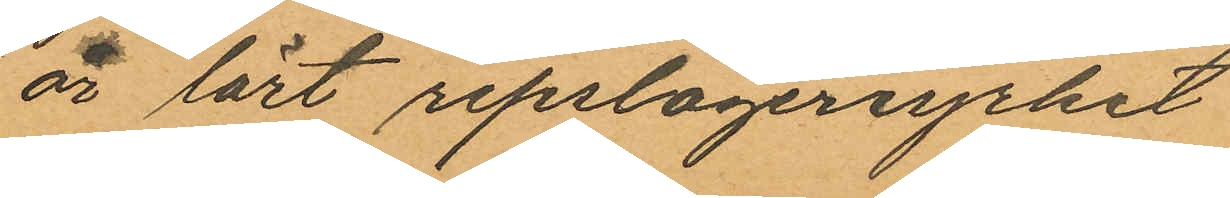år lärt repslageriyrket
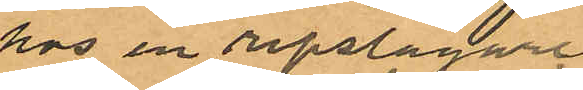hos en repslagare
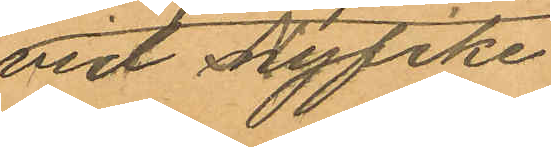vid Nyfike¬
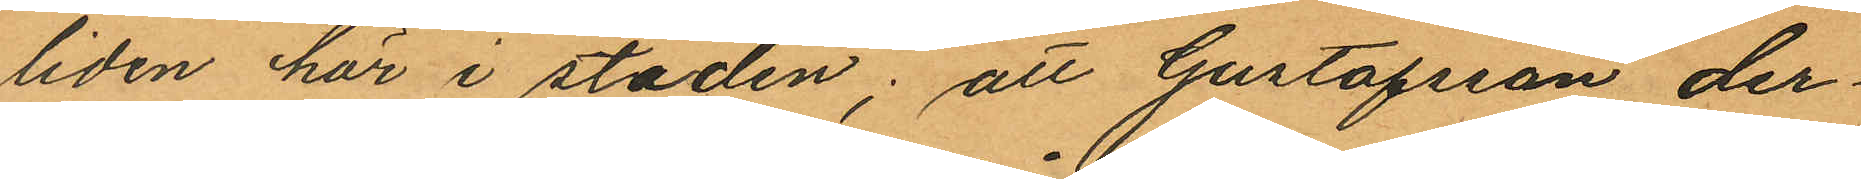liden här i staden; att Gustafsson der¬
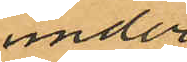under
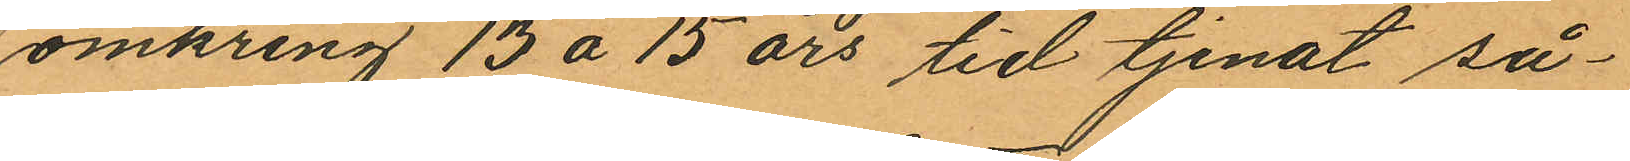omkring 13 á 15 års tid tjenat så¬
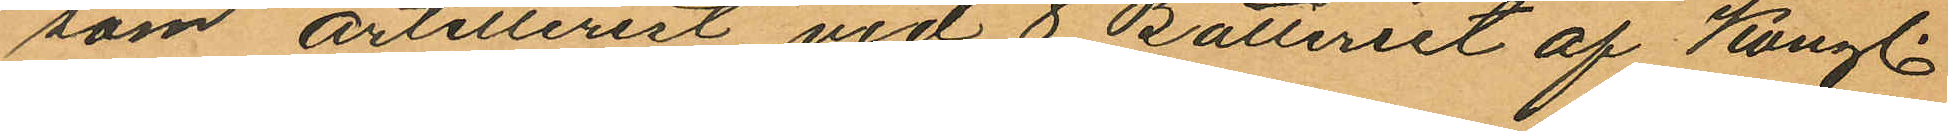som artillerist vid 8 Batteriet af Kungl.
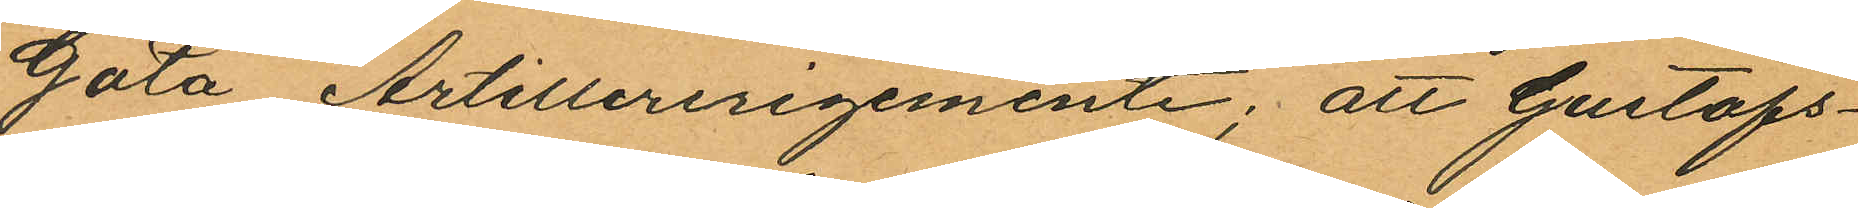Göta Artilleriregemente; att Gustafs¬
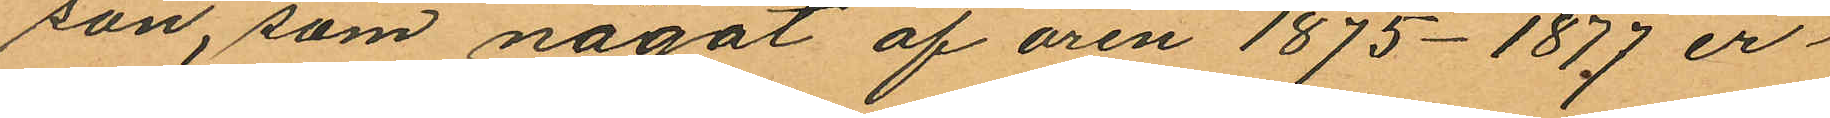son, som något af åren 1875 - 1877 er¬
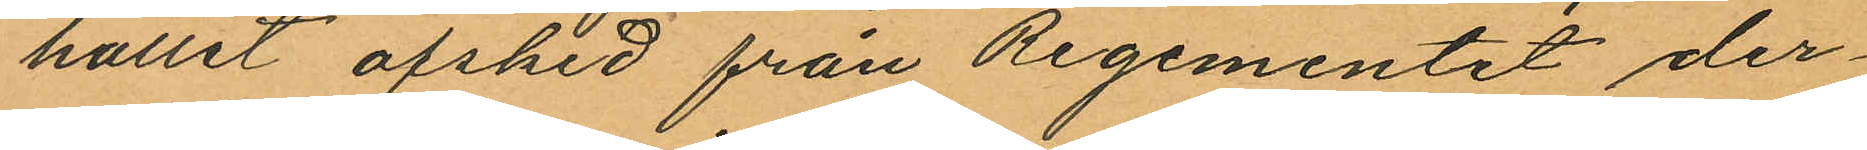hållit afsked från Regementet der¬
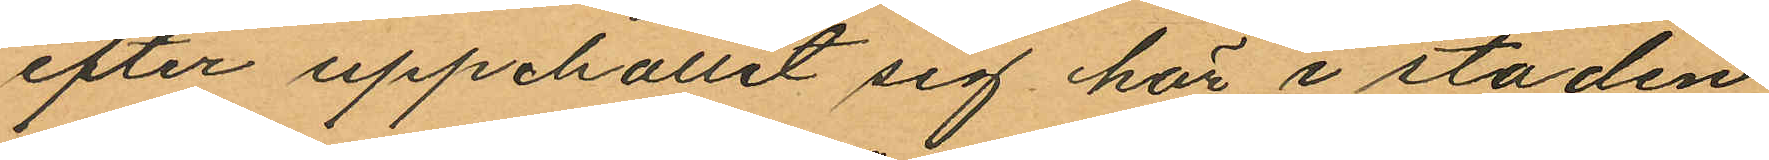efter uppehållit sig här i staden
